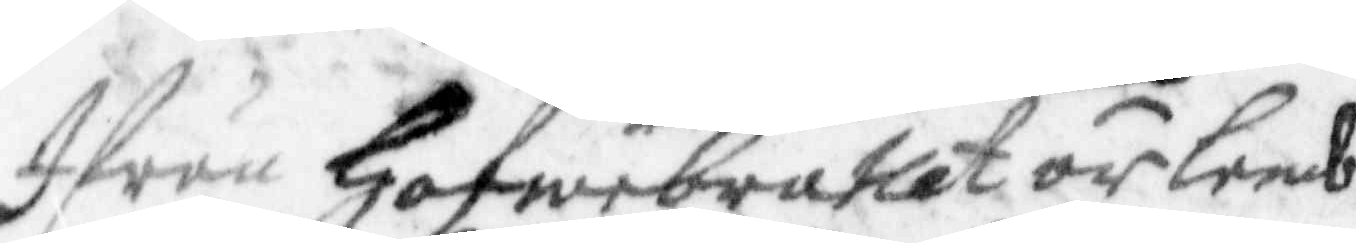Ifån Hofwebratlet är lemb¬
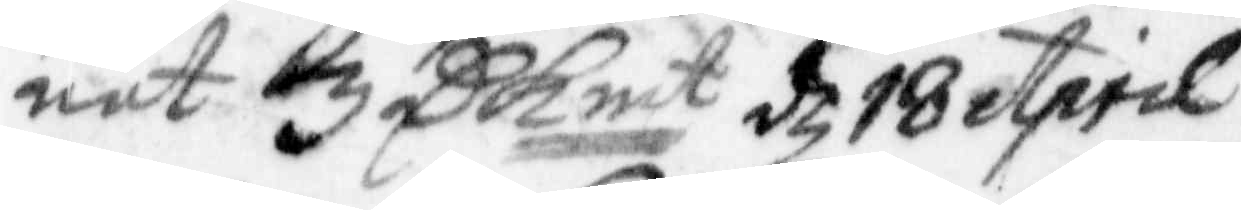nat 3 C kmt d 18 April
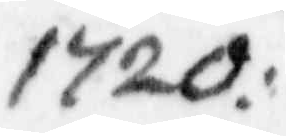1720.
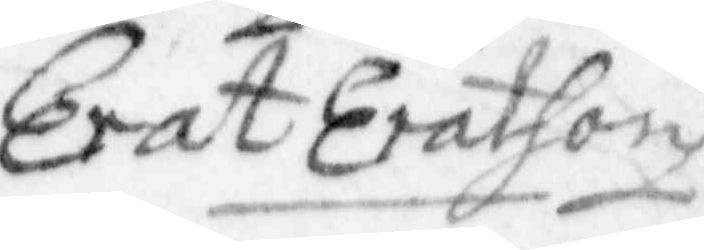Erat Eratson
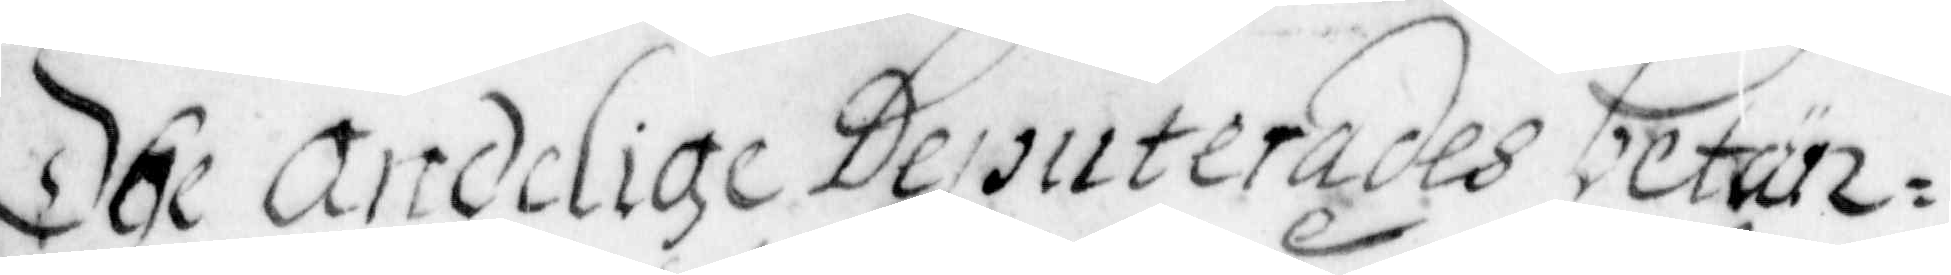Dhe andelige deputerades betän¬
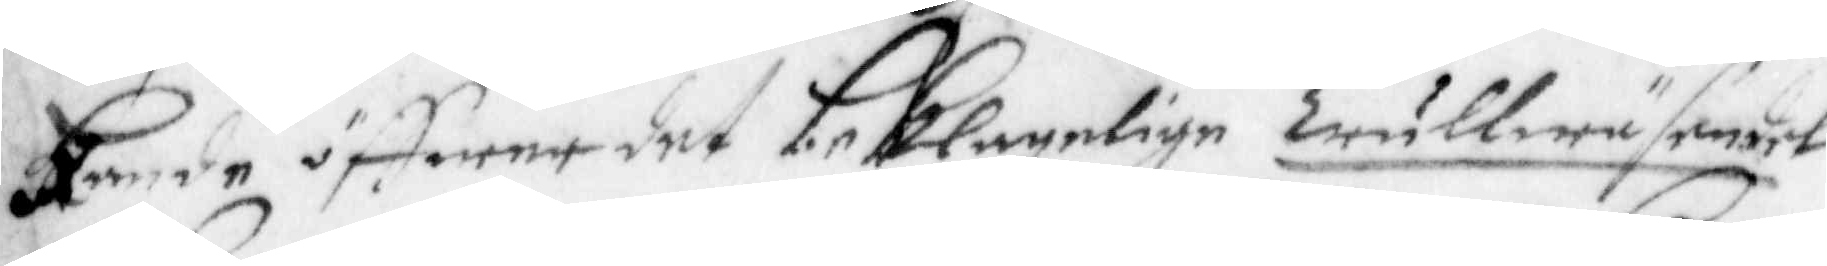kande öffwer det beklagelige Trullwäsendet
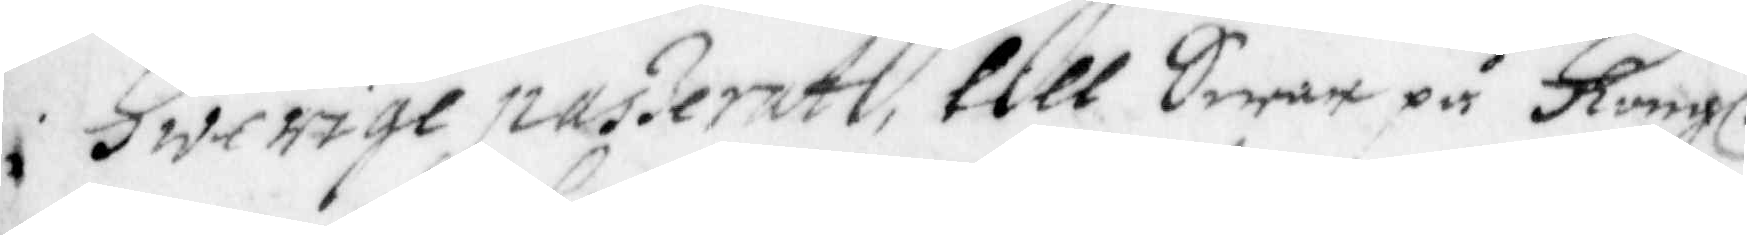i Swerige passeradt, till Swar på Kongl.
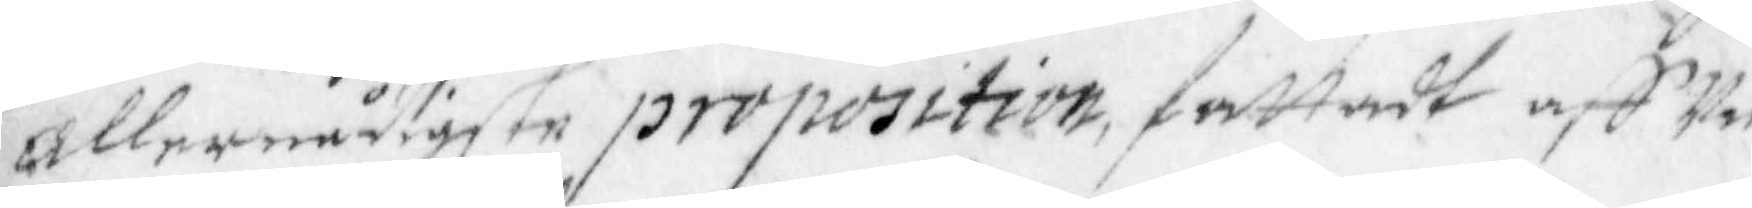allernådigste proposition, fattadt aff Un¬
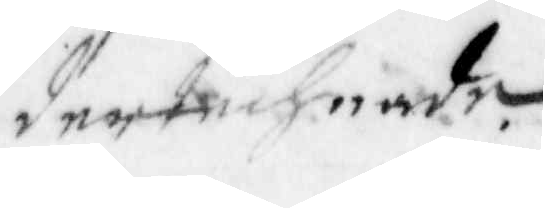dertechnade.
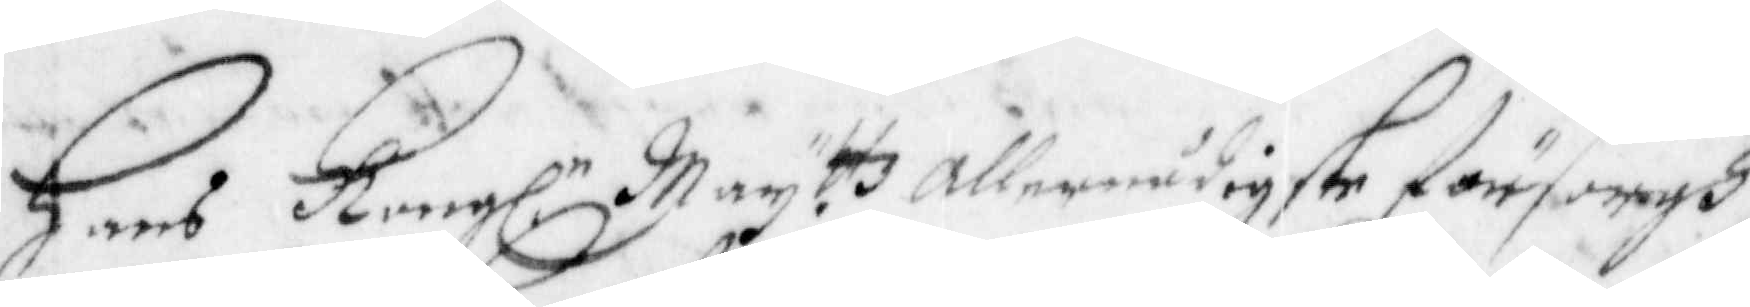Hans Kongl. Mayttz allernådigste försorgh
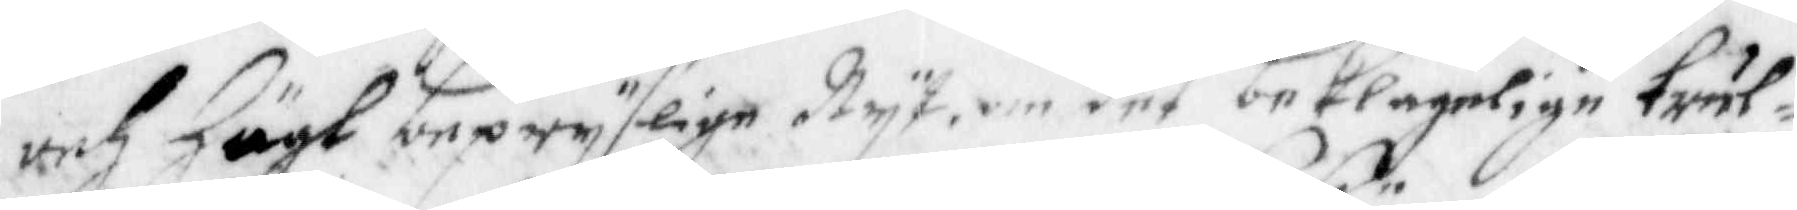och Högt bepryselige Nyt om det beklagelige trul¬
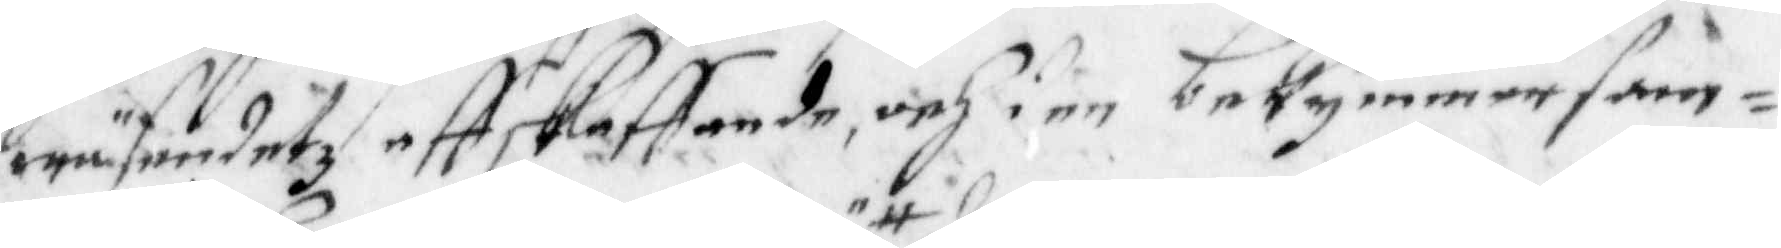wäsendetz affskaffande, och i en bekymmersam¬
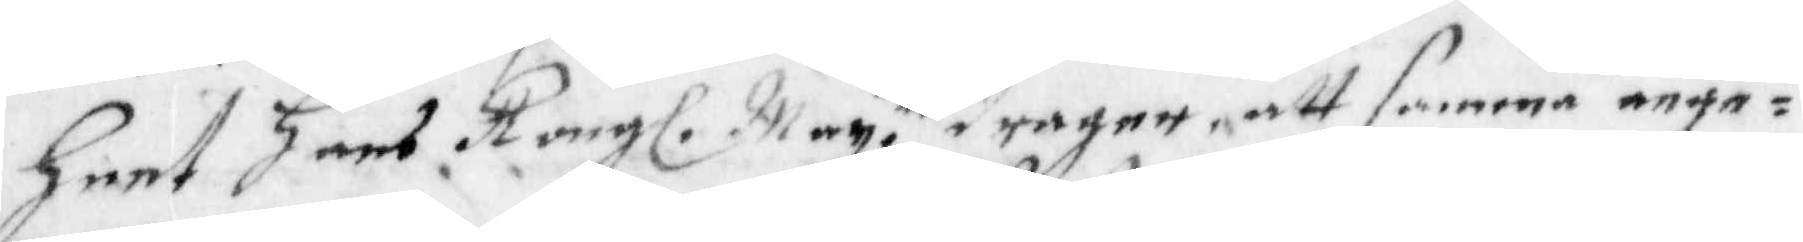heet Hans Kongl. May. tt dragen, att samma ange¬
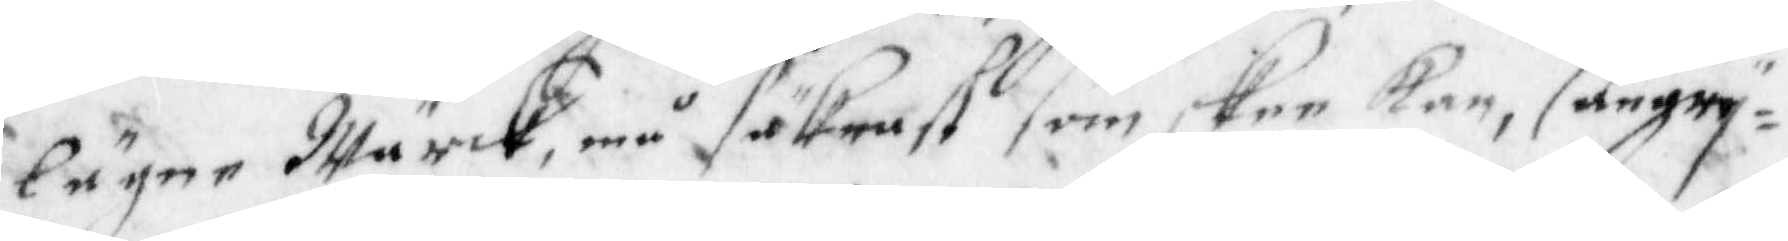lägne Wärck, må säkrast som skee kan, angry¬
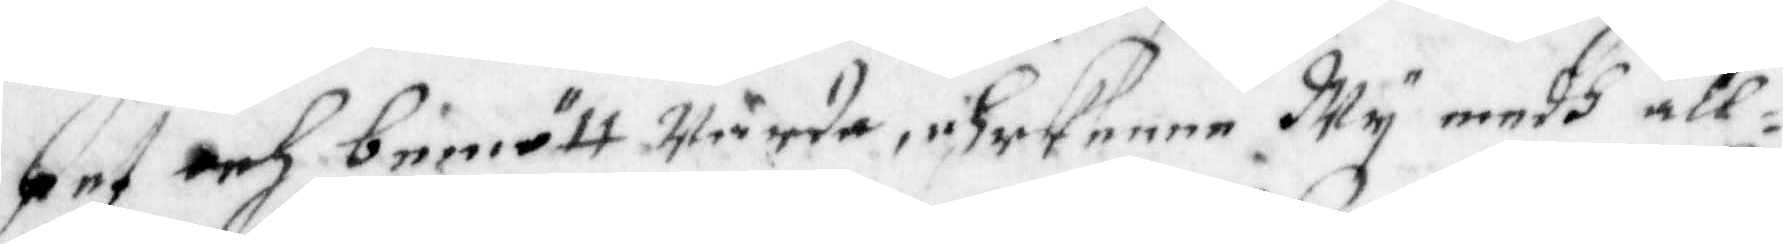pet och beniött Wärda, ehrkenne Wy medh alt¬
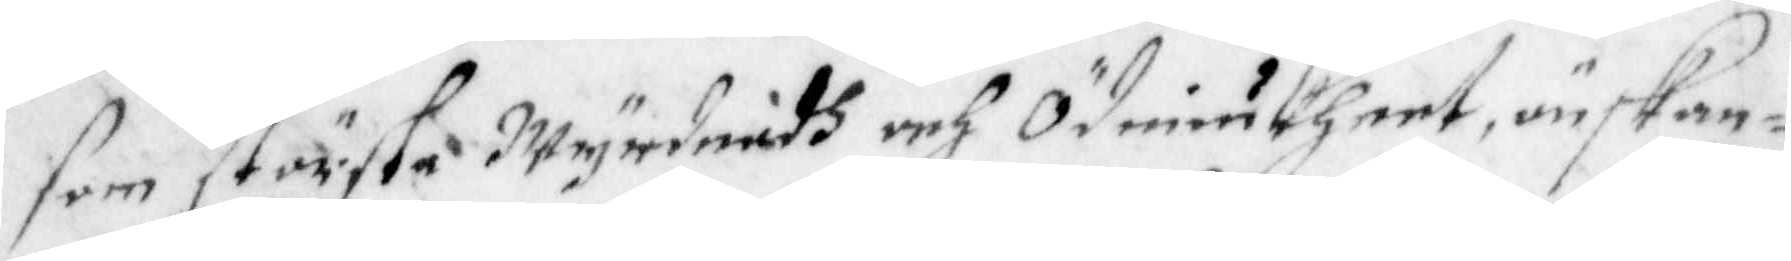som största Wyrdnadh och Ödmiukheet, önskan¬
